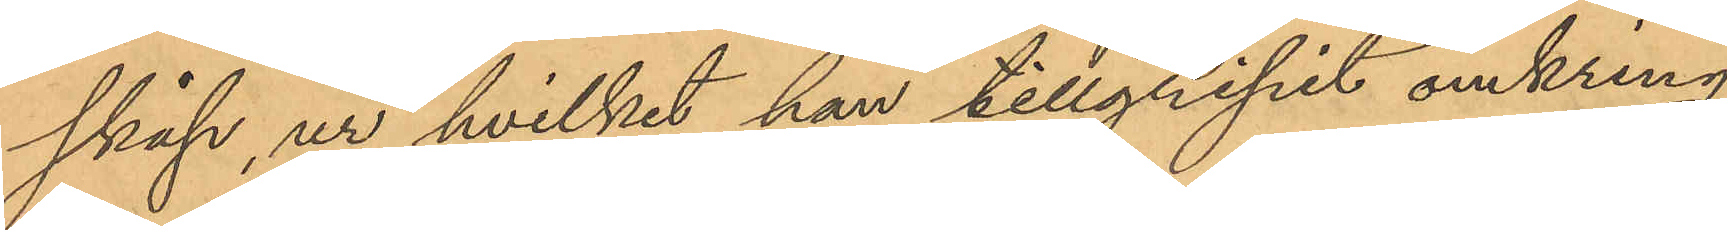skåp, ur hvilket han tillgripit omkring
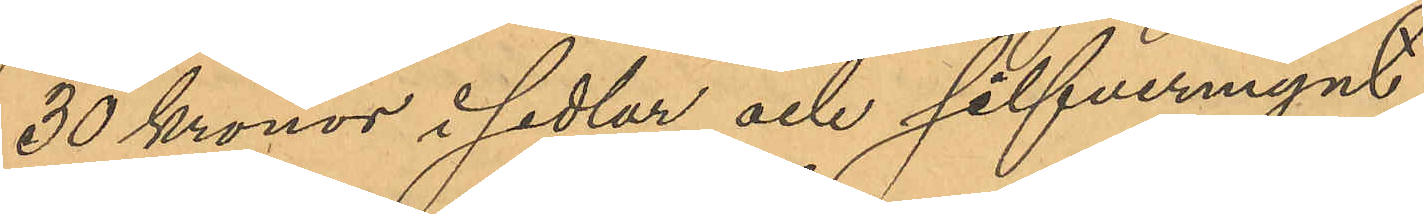30 Kronor i sedlar och silfvermynt;
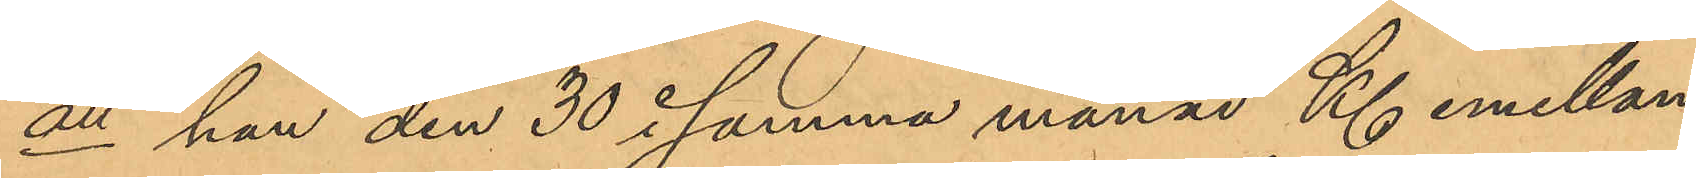att han den 30 i samma månad Kl. emellan
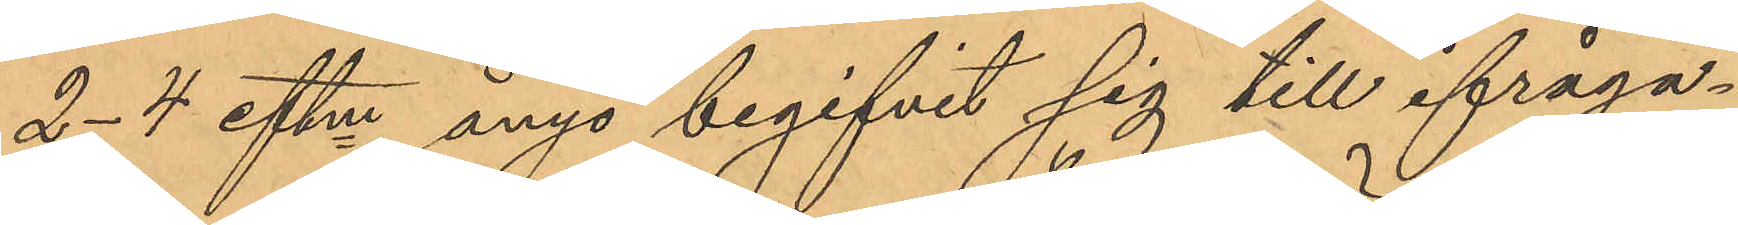2-4 eftm ånyo begifvit sig till ifråga¬
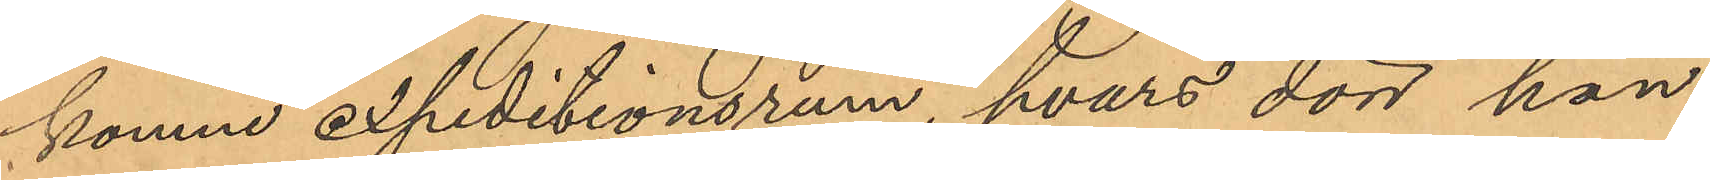komne expeditionsrum, hvars dörr han
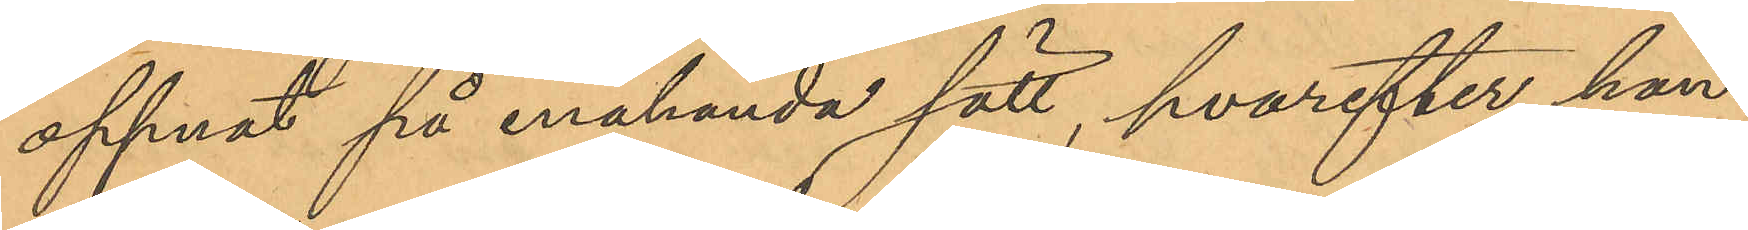öppnat på enahanda sätt, hvarefter han
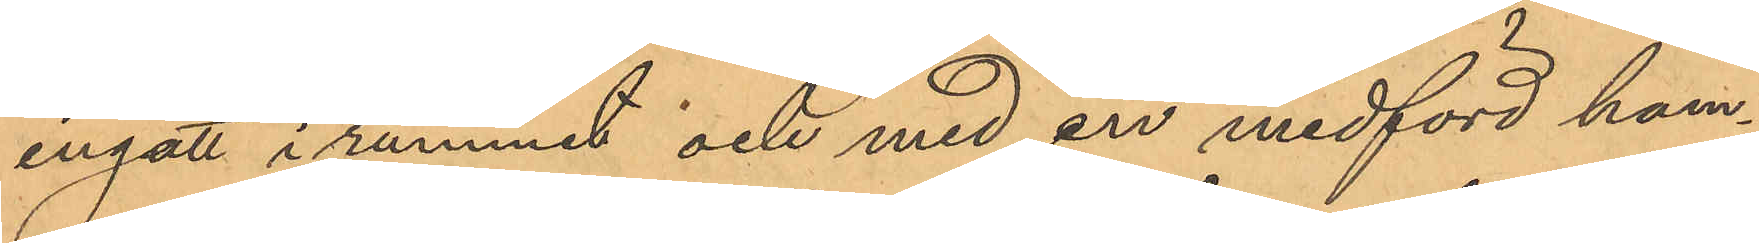ingått i rummet och med en medförd ham¬
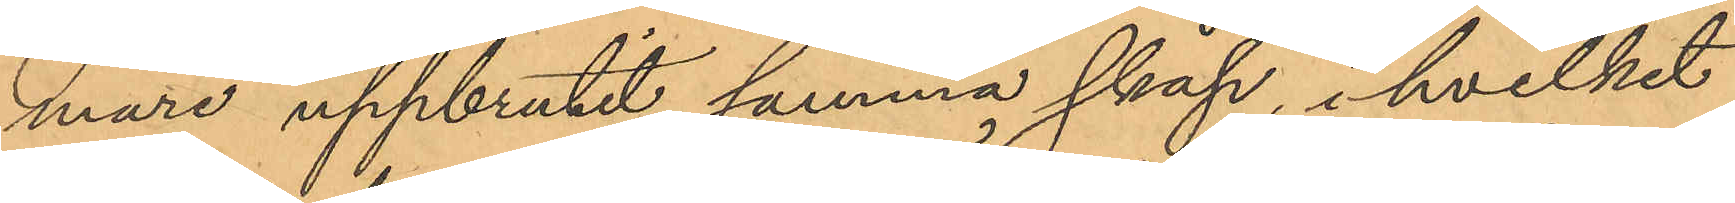mare uppbrutit samma skåp, i hvilket
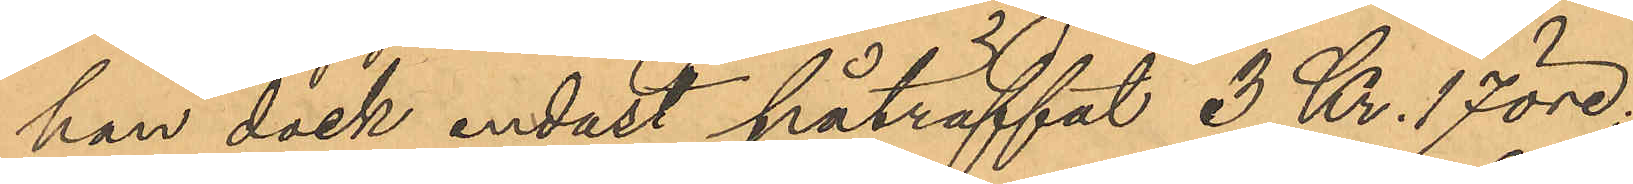han dock endast påträffat 3 Kr. 17 öre.
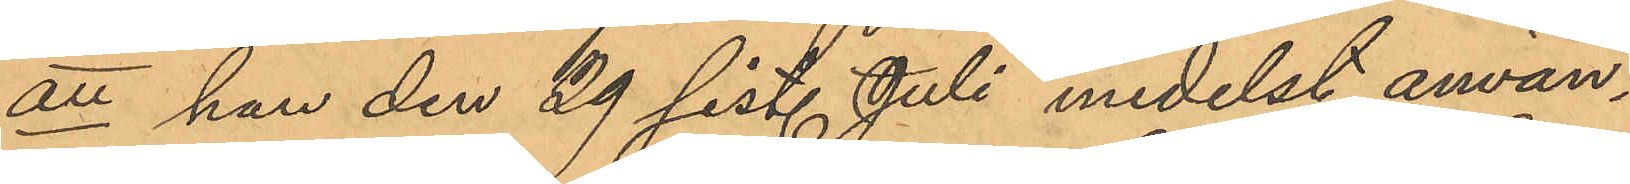att han den 29 sist. Juli medelst använ¬
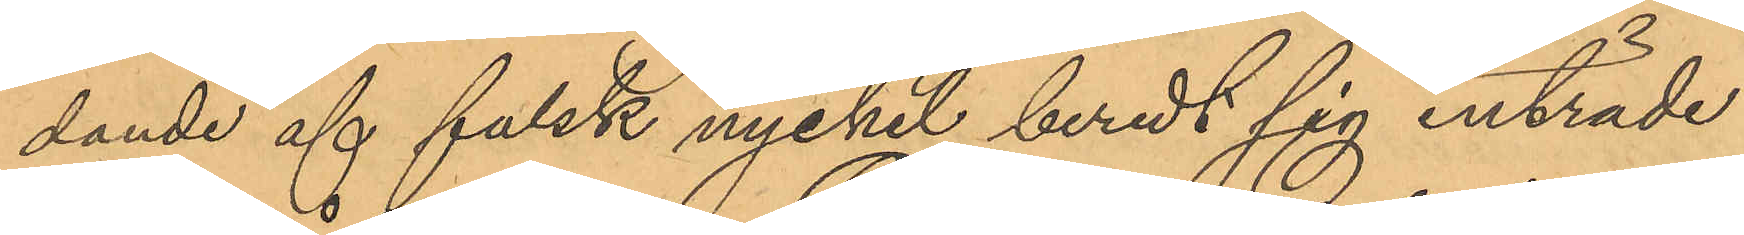dande af falsk nyckel beredt sig inträde
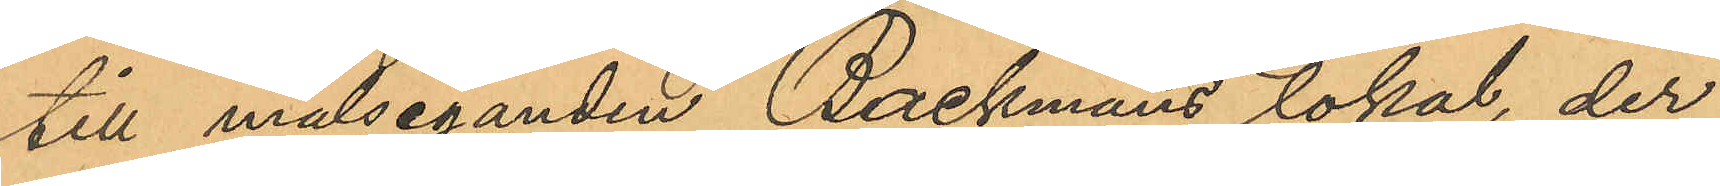till målseganden Backmans lokal, der
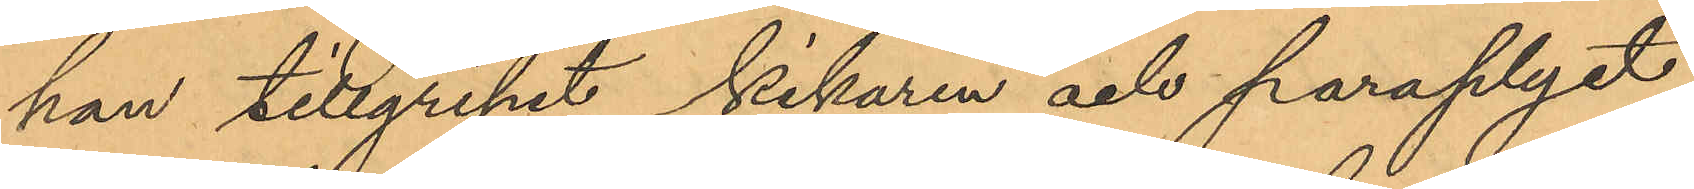han tillgripit kikaren och paraplyet,
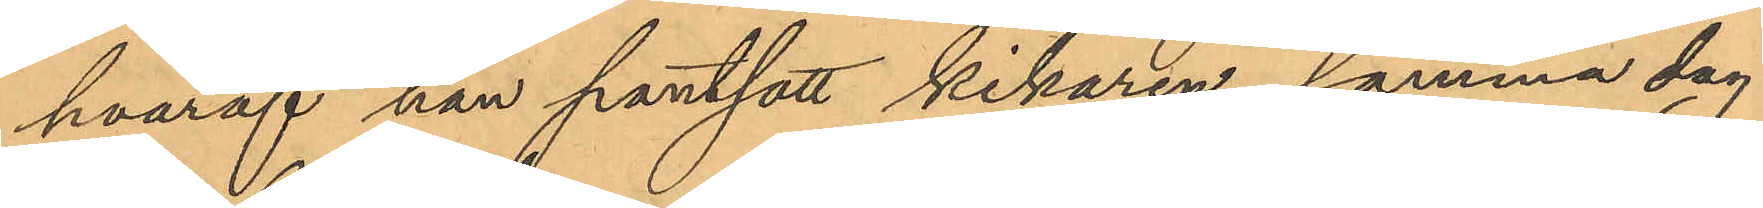hvaraf han pantsatt kikaren samma dag
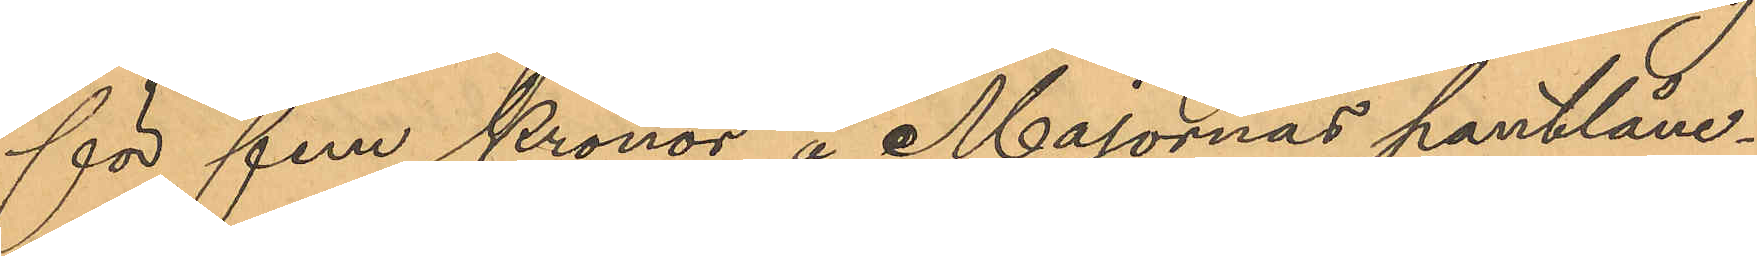för fem Kronor å Majornas pantlåne¬
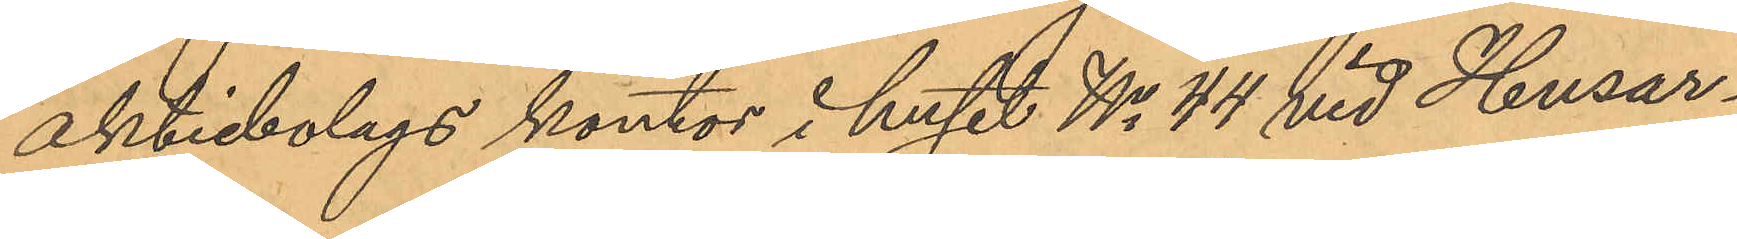aktiebolags kontor i huset No 44 vid Husar¬
